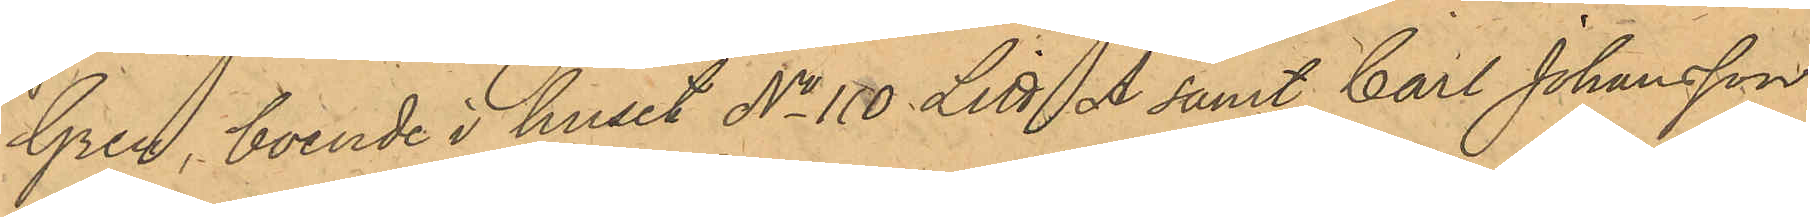Gren, boende i huset No 110 Litt A samt Carl Johansson,
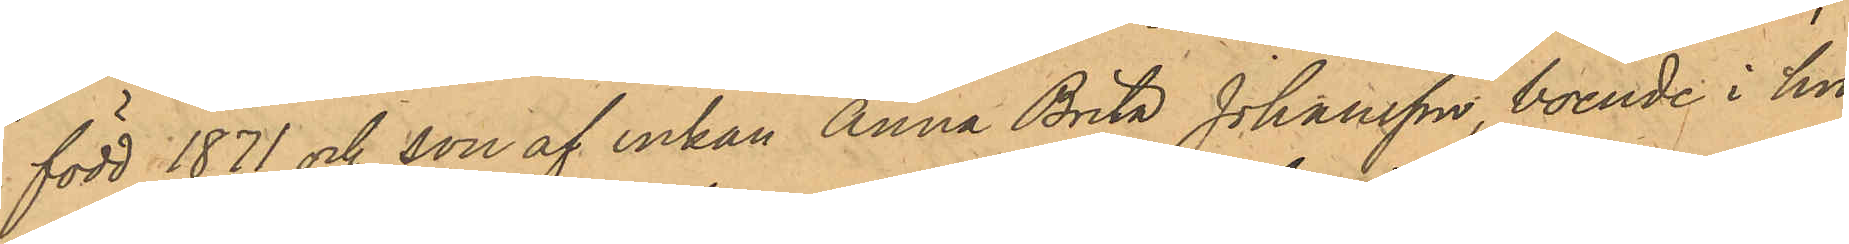född 1871 och son af enkan Anna Brita Johansson, boende i hu¬
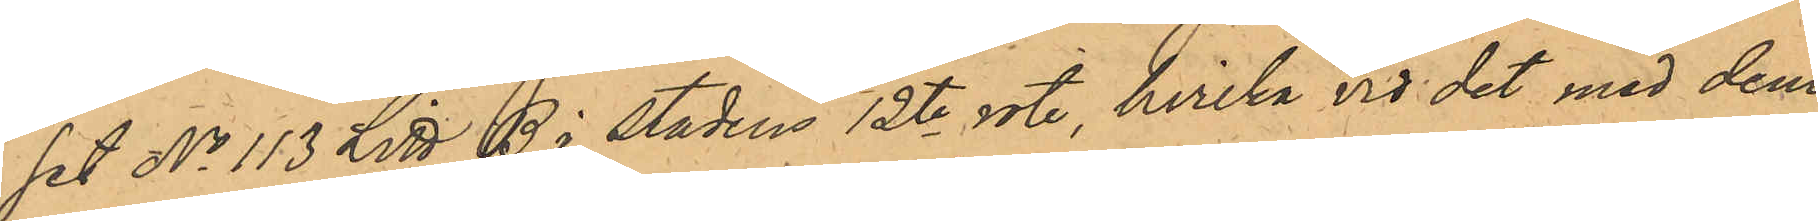set No 113 Litt B i stadens 12te rote, hvilka vid det med dem
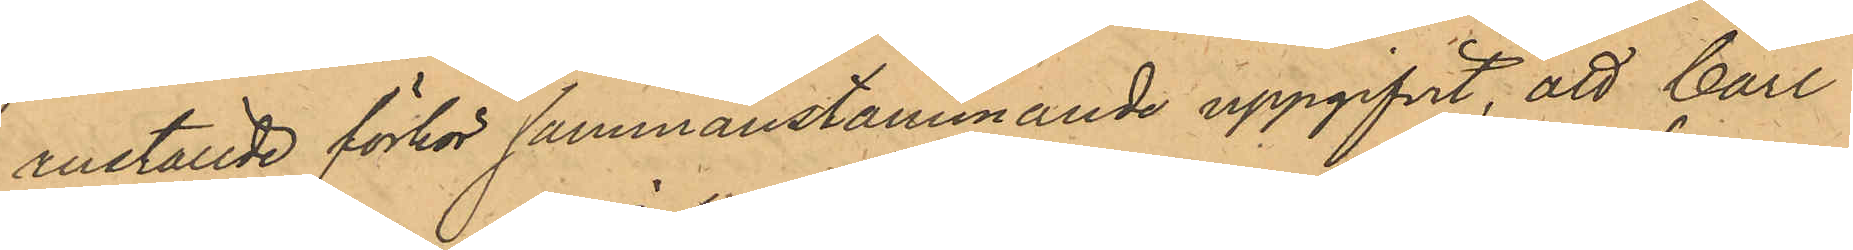anställde förhör sammanstämmande uppgifvit, att Carl
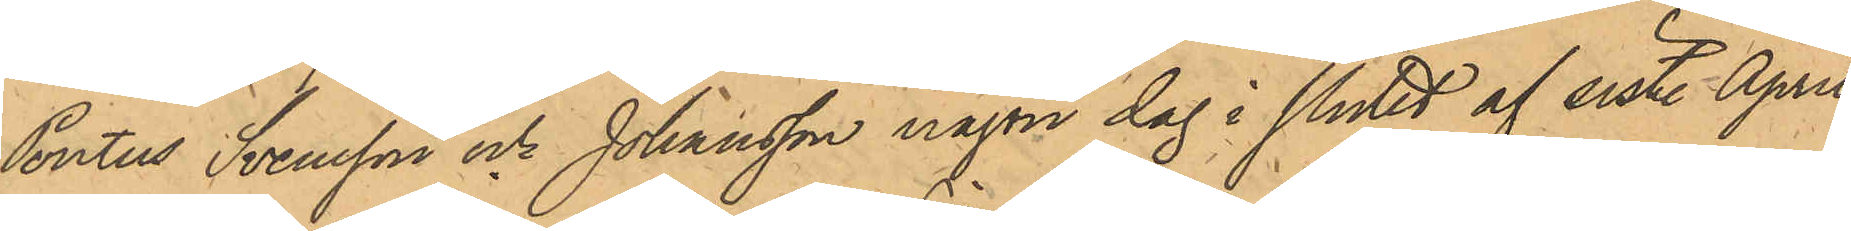Pontus Svensson och Johansson någon dag i slutet af sist. April
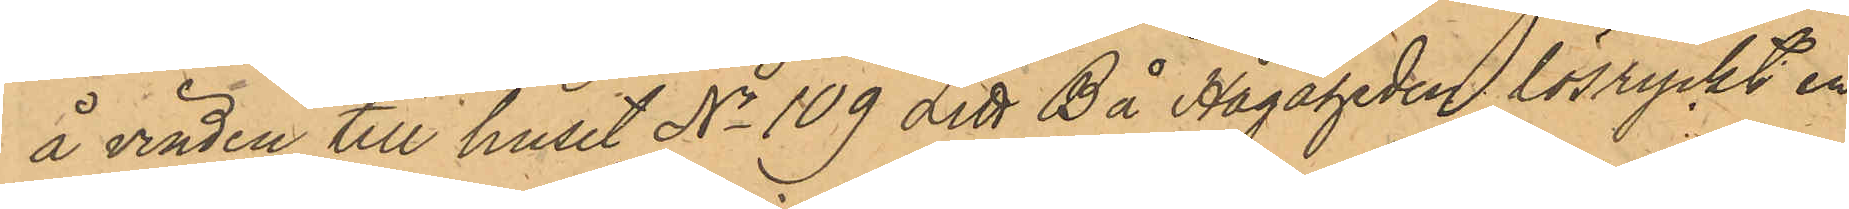å vinden till huset No 109 Litt B å Hagaheden lösryckt en
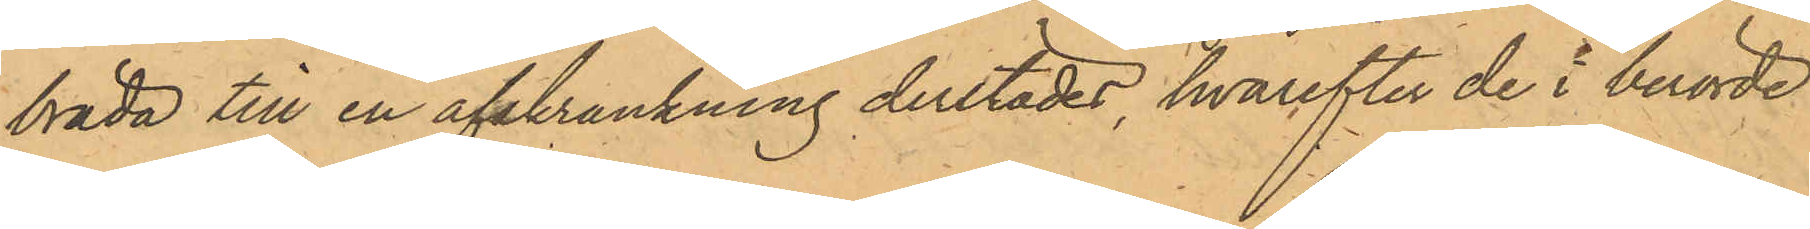bräda till en afskrankning derstädes, hvarefter de i berörde
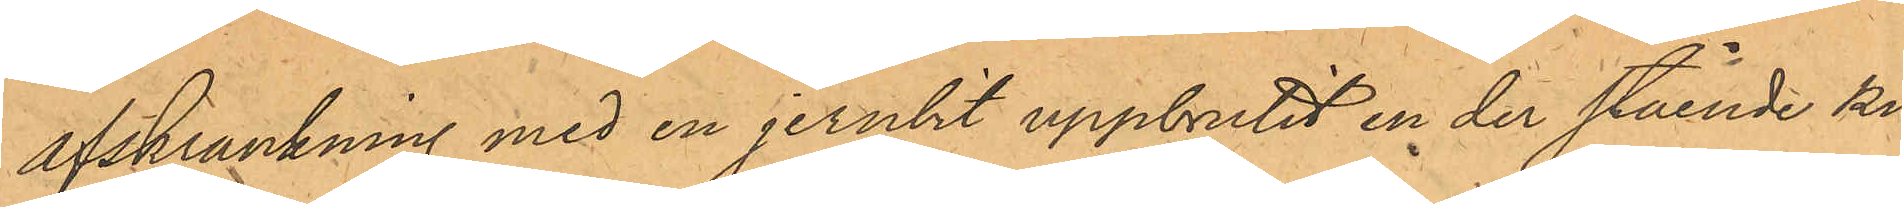afskrankning med en jernbit uppbrutit en der stående ki¬
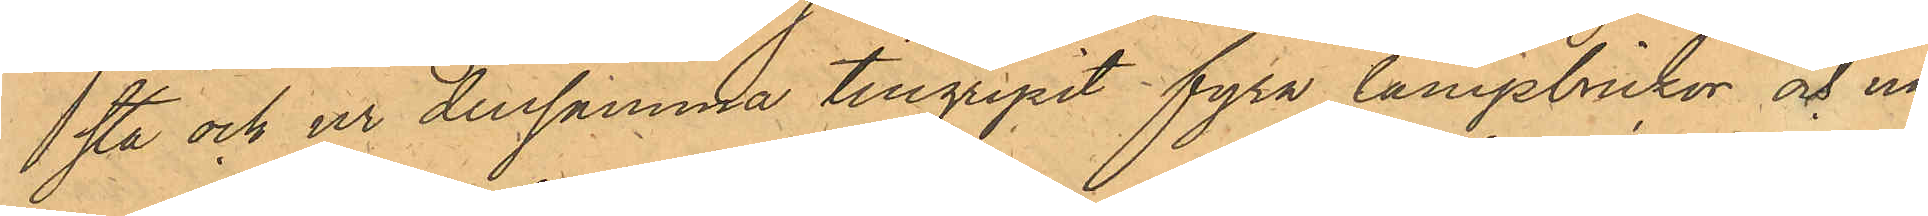sta och ur densamma tillgripit fyra lampbrickor och nå¬
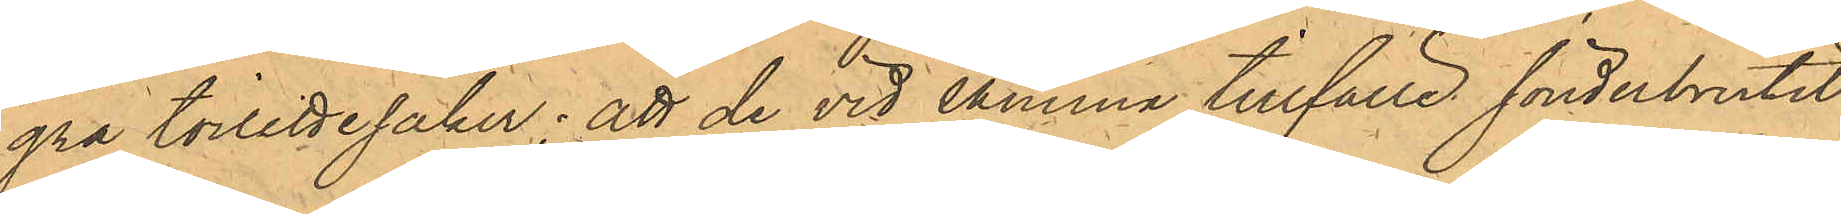gra toilettesaker; att de vid samma tillfälle sönderbrutit
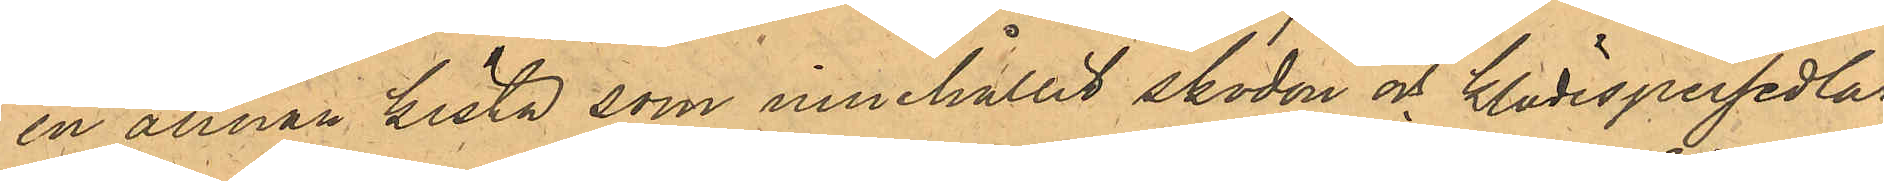en annan kista som innehållit skodon och klädespersedlar,
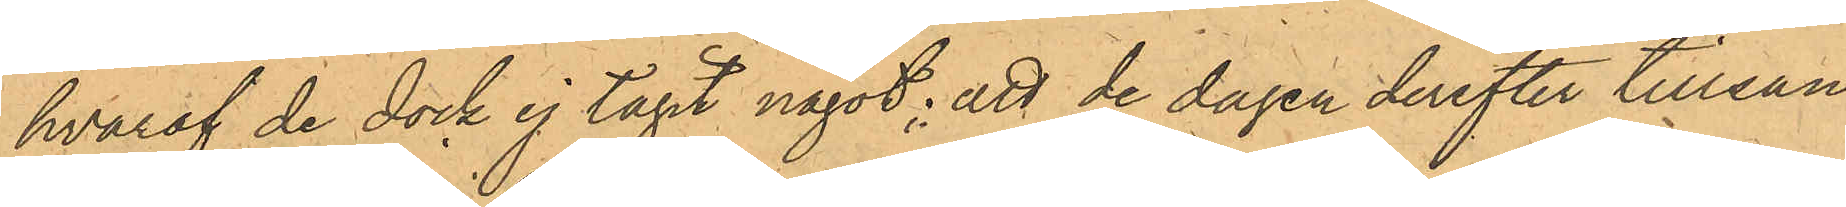hvaraf de dock ej tagit något; att de dagen derefter tillsam¬
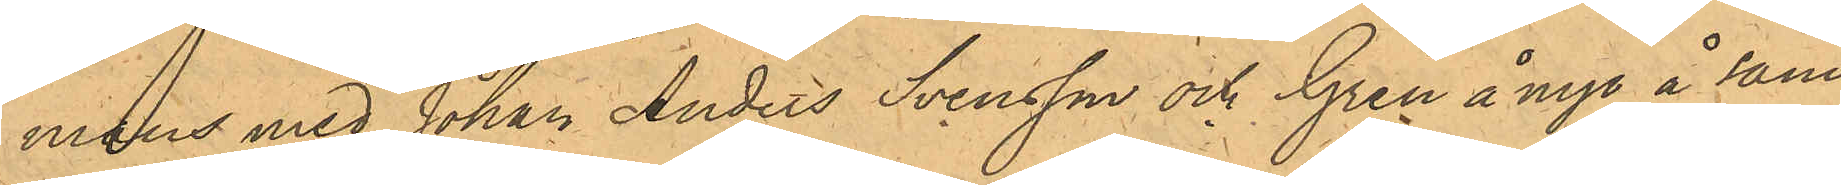mans med Johan Anders Svensson och Gren å nyo å sam¬
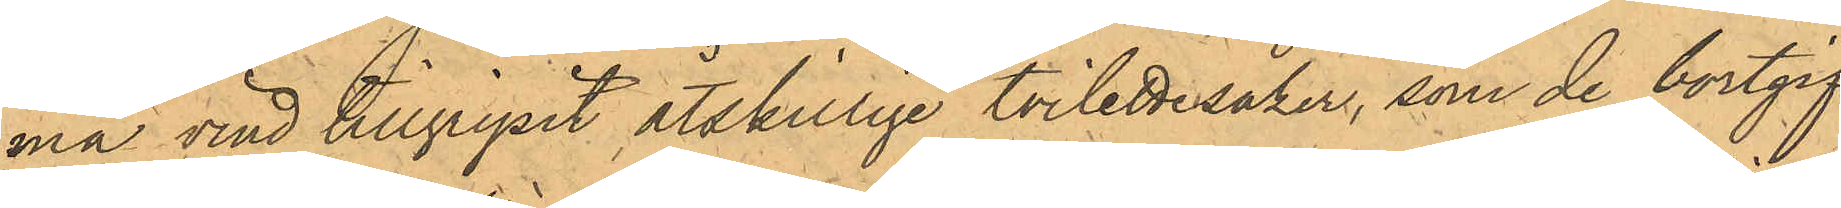ma vind tillgripit åtskillige toilettesaker, som de bortgif¬
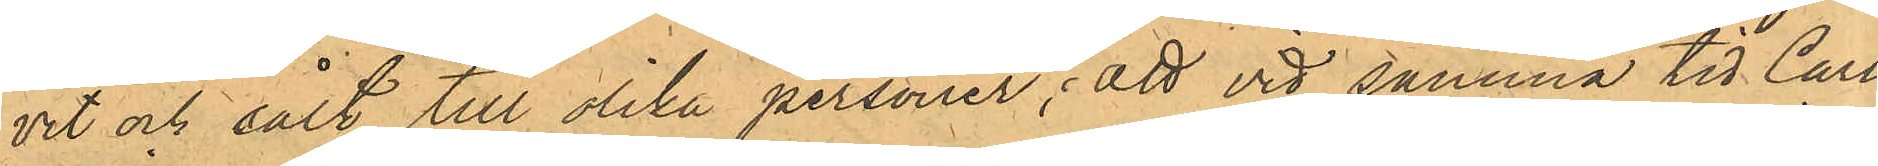vit och sålt till olika personer; att vid samma tid Carl
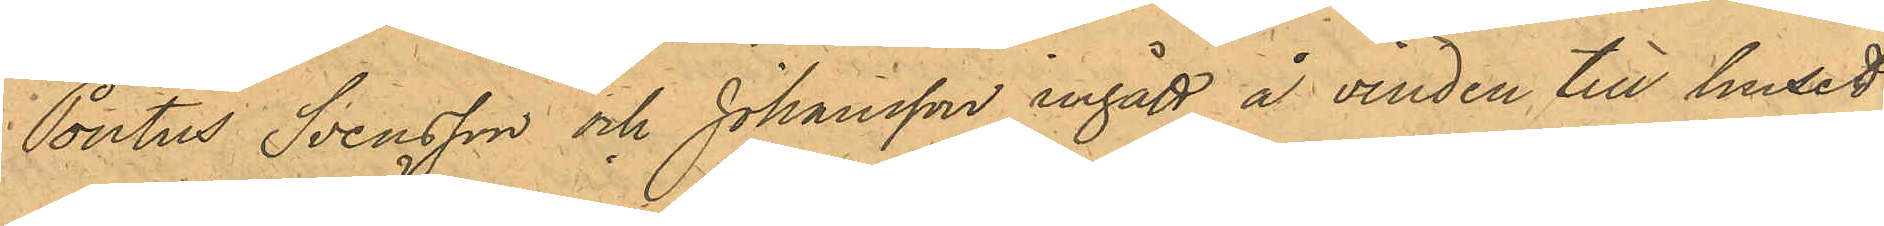Pontus Svensson och Johansson ingått å vinden till huset
